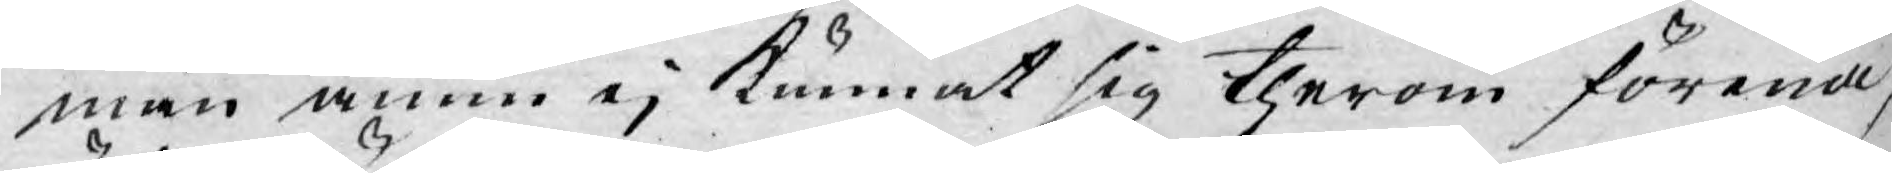män ännu ej kunnat sig therom förena,
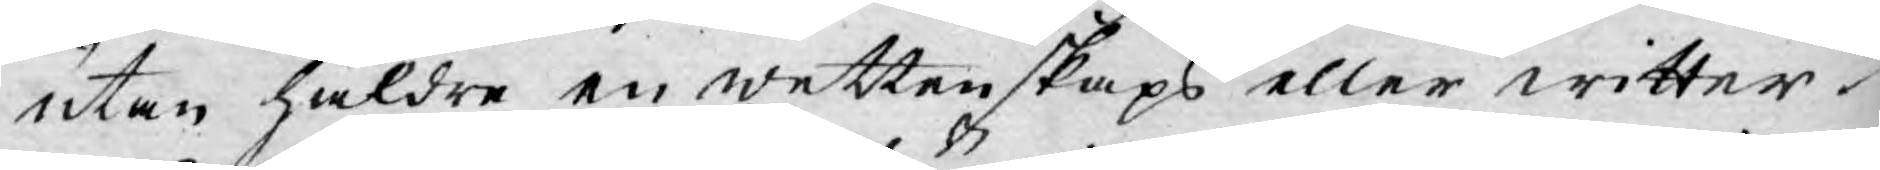utan häldre en wettenskaps eller witter¬
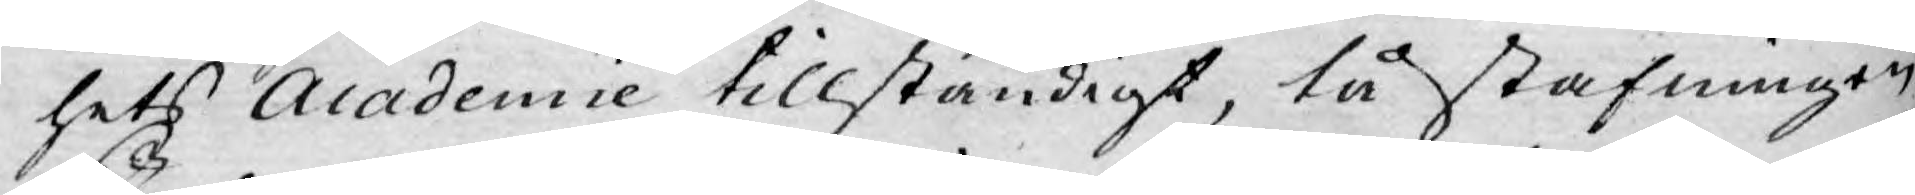hets Academie tillständigt, tå stafningen
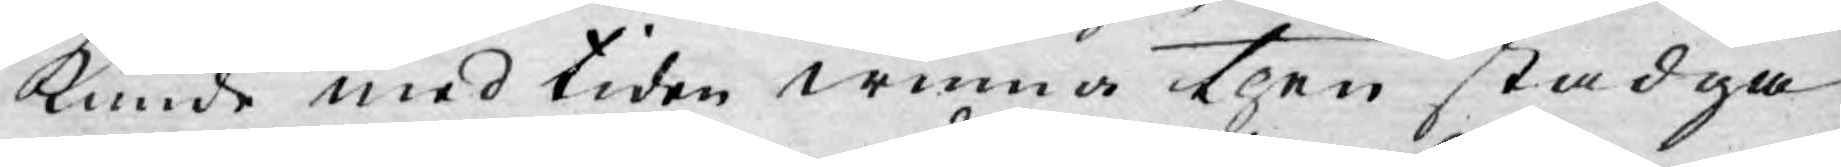kunde med tiden winna then stadga
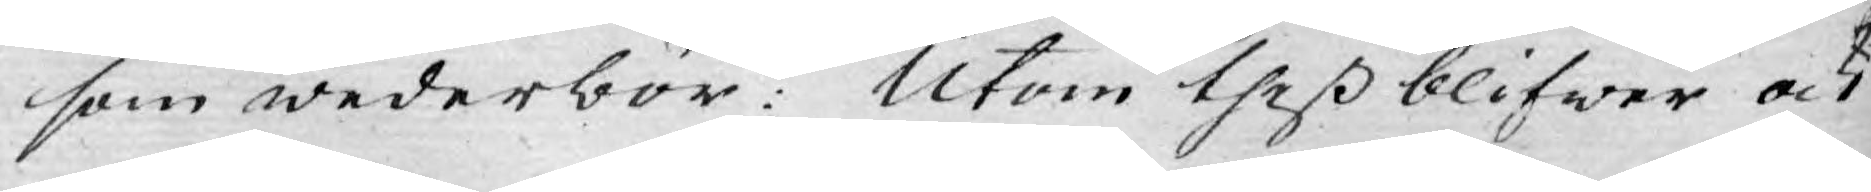som wederbör: Utom theß blifwer ock
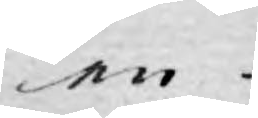en
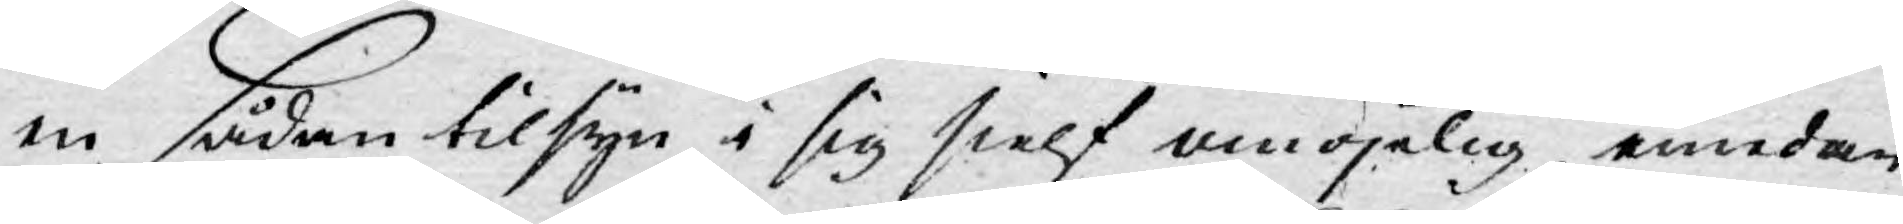en sådan tilsyn i sig sielf omöjelig emedan
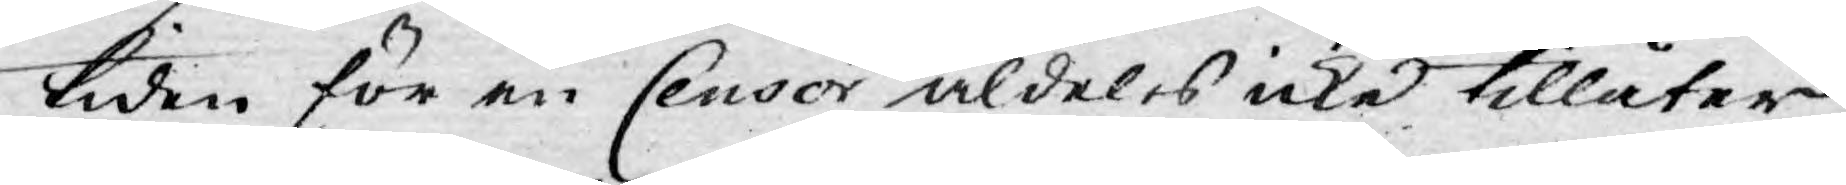tiden för en Censor aldeles icke tillåter
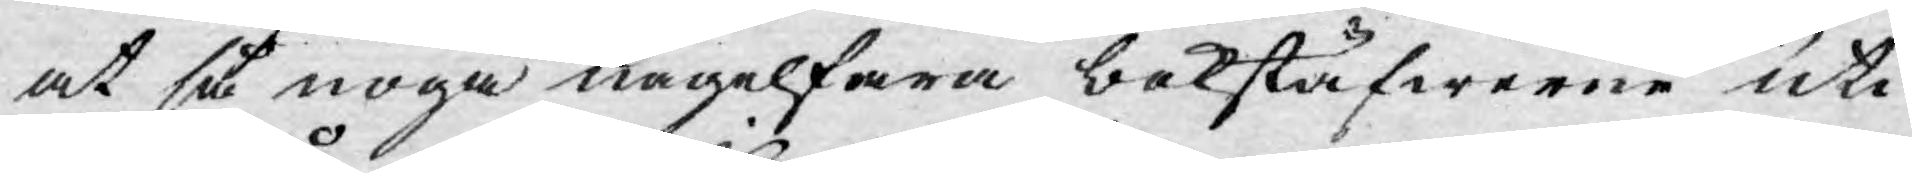at så noga nagelfara bokstäfwerne uti
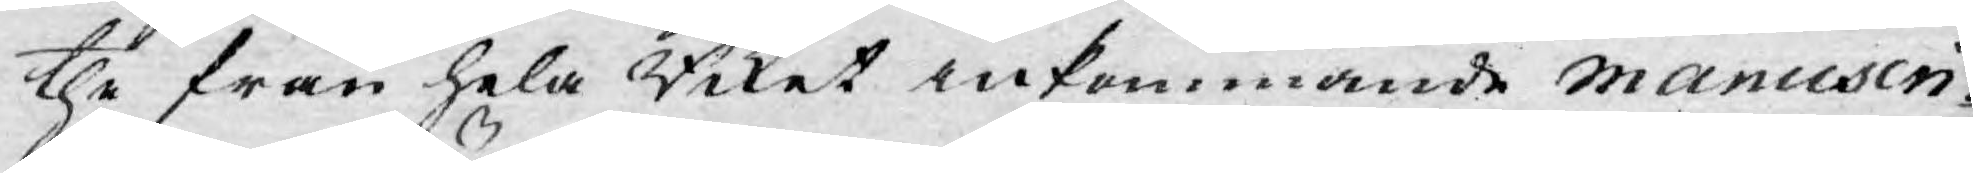the från hela Riket inkommande manuscri¬
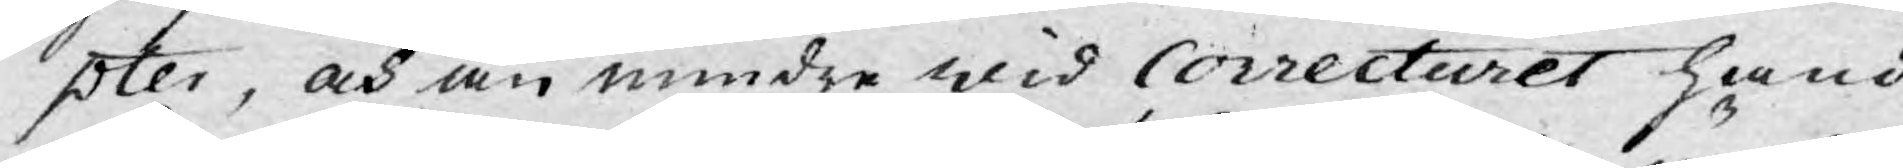pter, och än mindre wid Correcturet hand
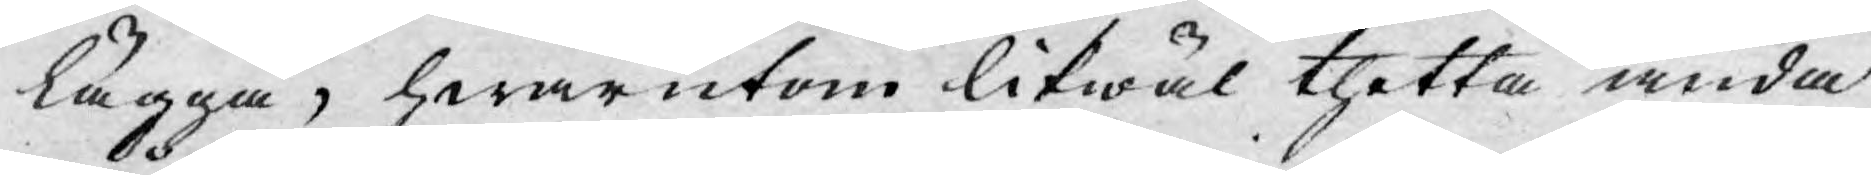lägga, hwarutom likwäl thetta ända¬
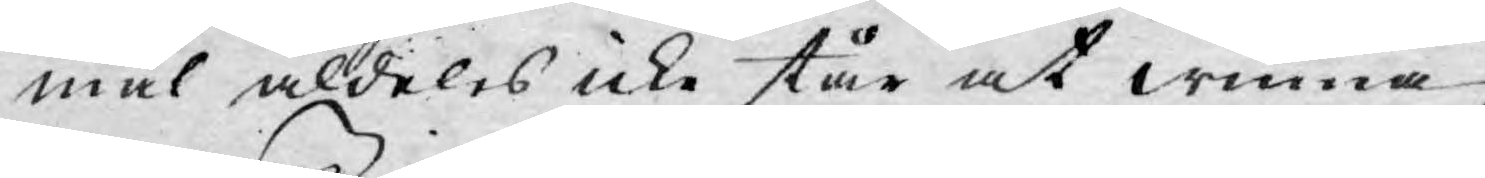mål aldeles icke står at winna.
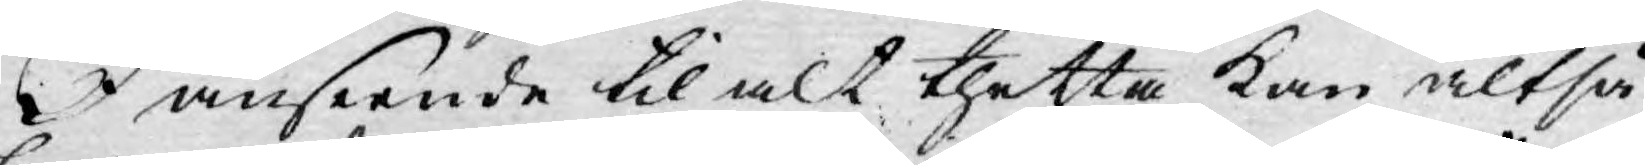I anseende til alt thetta kan altså
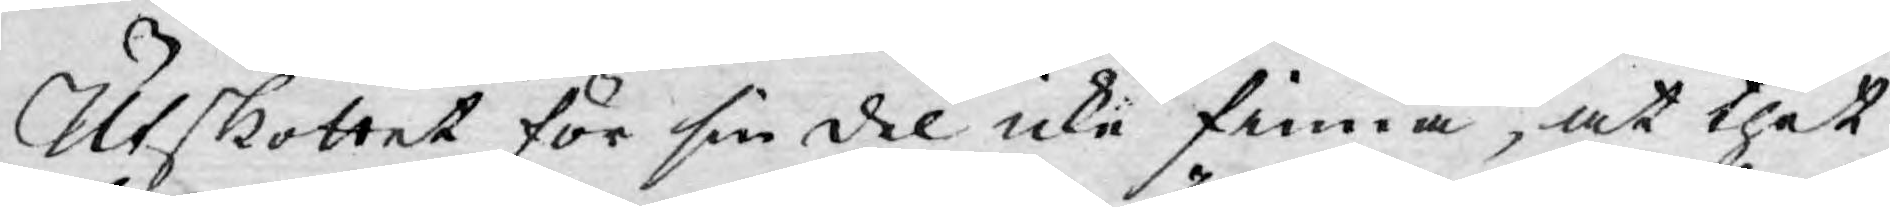Utskottet för sin del icke finna, at thet
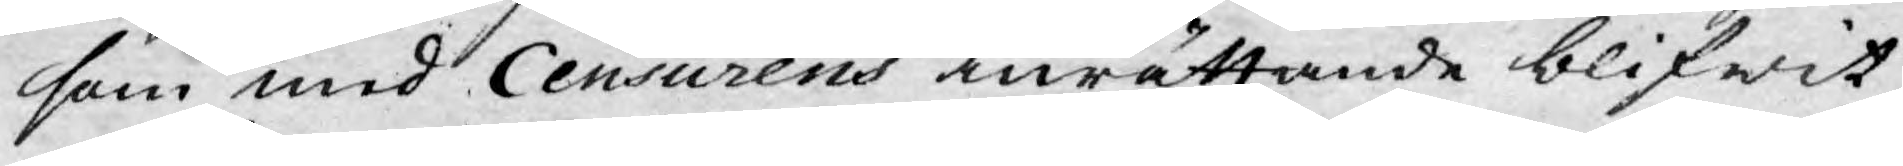som med Censurens inrättande blifwit
